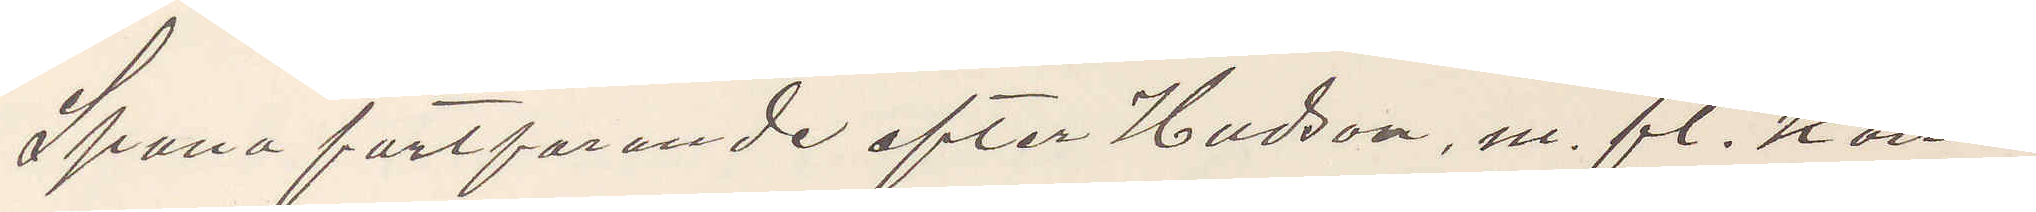Spana fortfarande efter Hudson, m. fl. kom¬
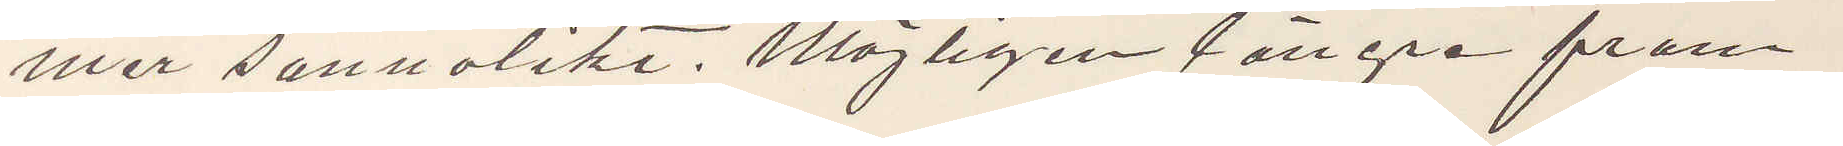mer sannolikt. Möjligen längre fram
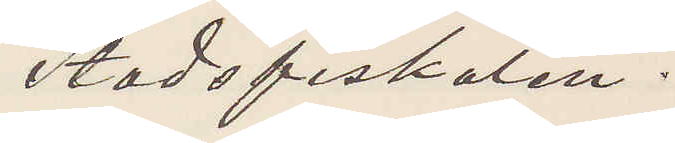Stadsfiskalen.
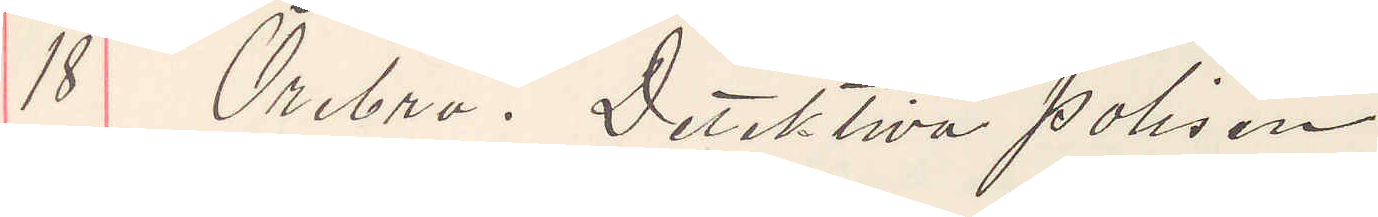18 Örebro. Detektiva polisen
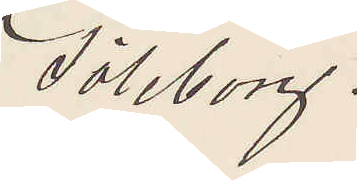Göleborg.
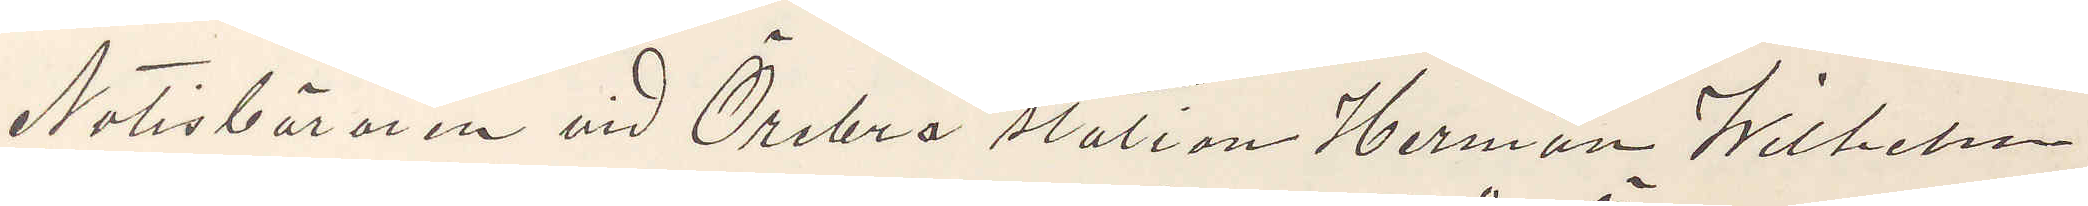Notisbäraren vid Örebro station Herman Wilhelm
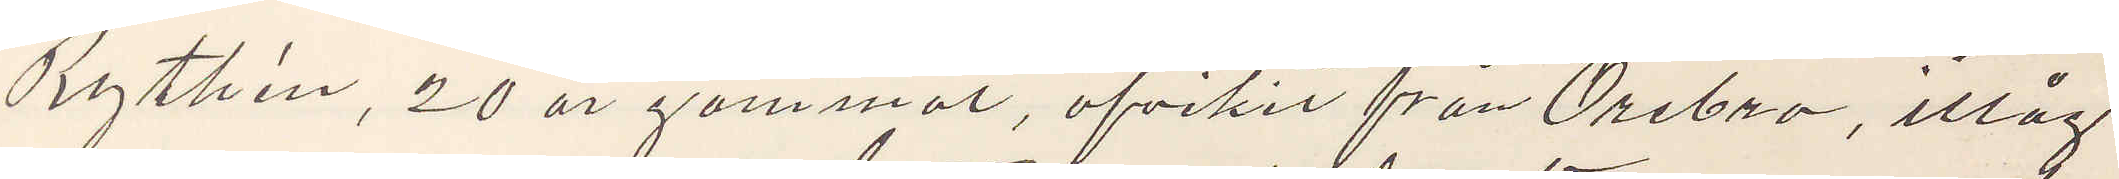Rythén, 20 år gammal, afvikit från Örebro, ittåg
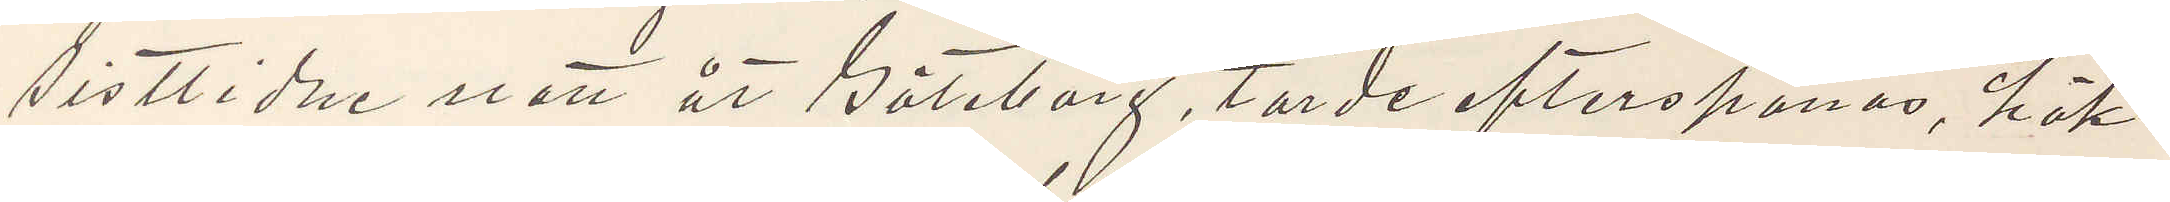sistlidne natt åt Göteborg, torde efterspanas, häk¬
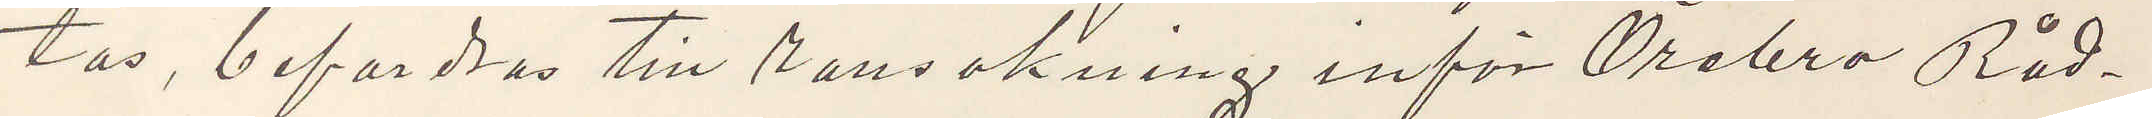tas, befordras till ransakning inför Örebra Råd¬
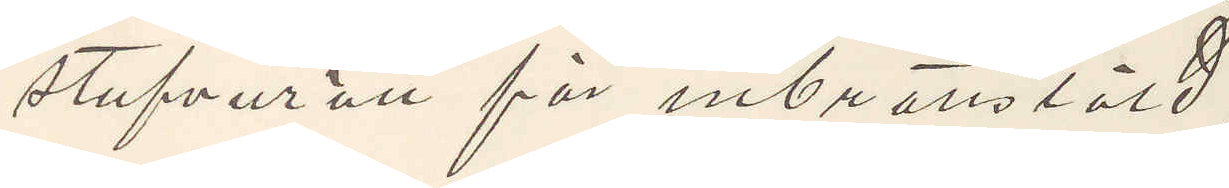stufvurätt för inbrottstöld.
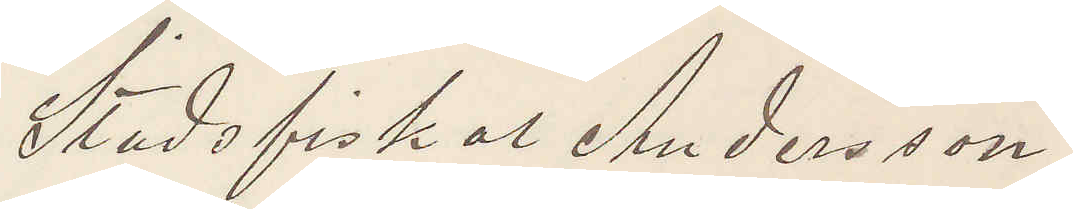Stadsfiskal Andersson
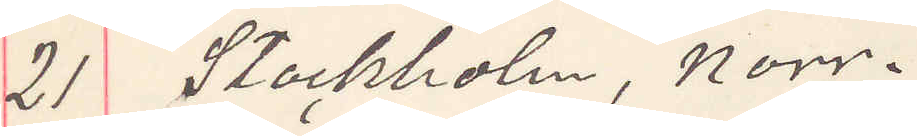21 Stockholm, norr.
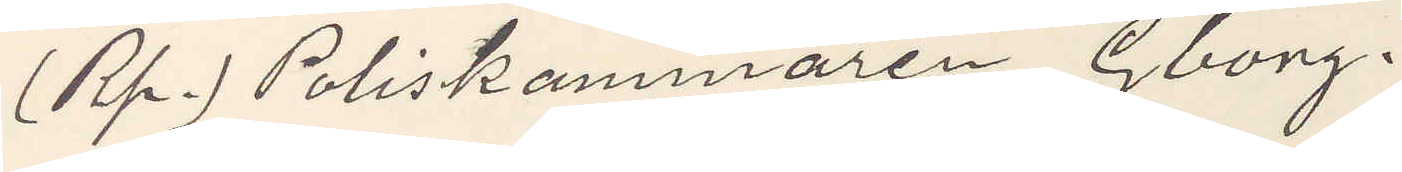(Rp.) Poliskammaren Gborg.
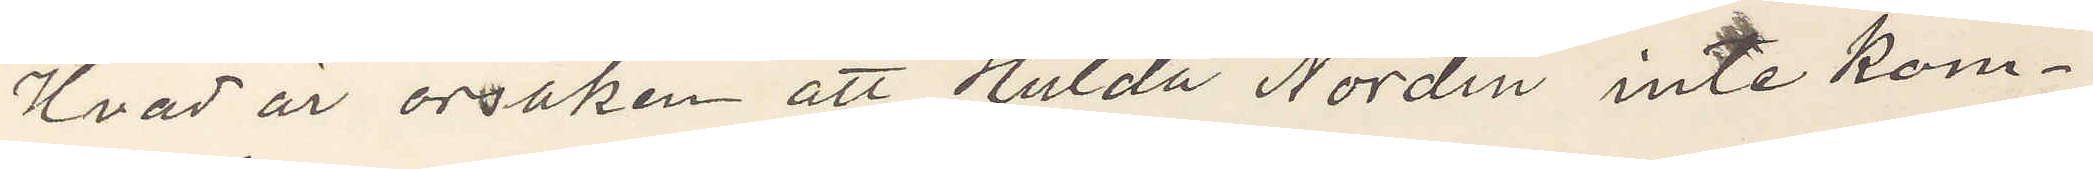Hvad är orsaken att Hulda Nordin inte kom¬
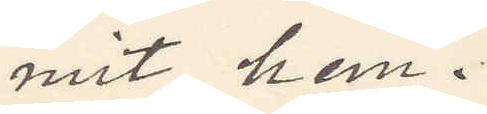mit hem.
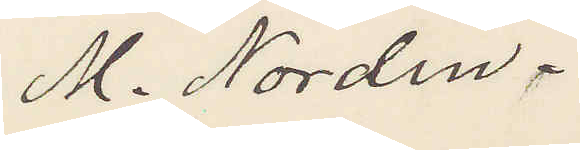M. Nordin.
